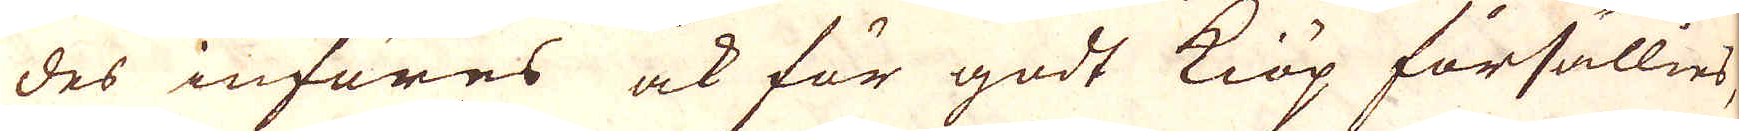des införes ock för godt kiöp försällies,
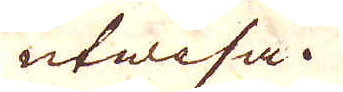utwisa.
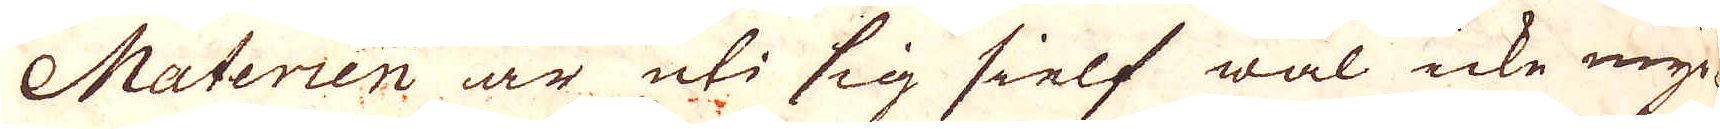Materien är uti sig sielf wäl icke myc-
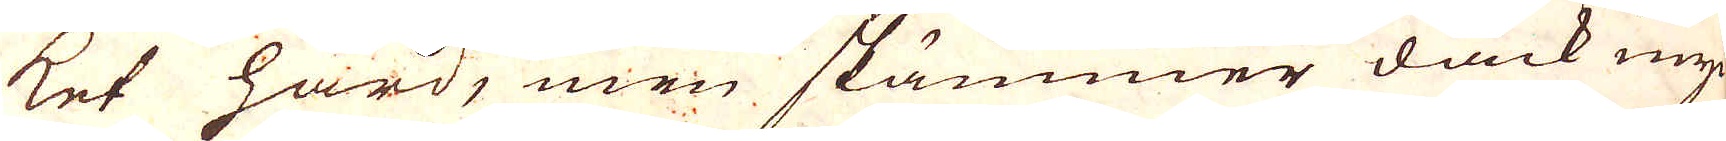ket hård, men skämmer dåck my-
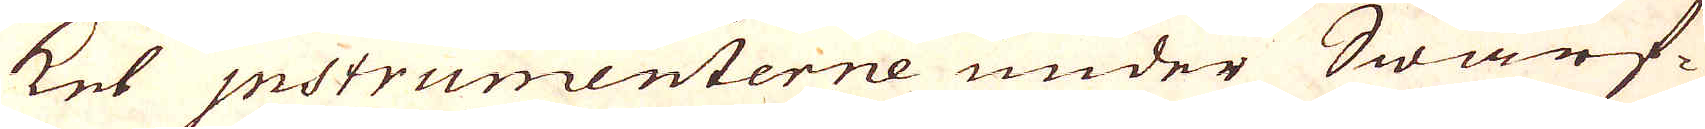ket Instrumenterne under Swarf-
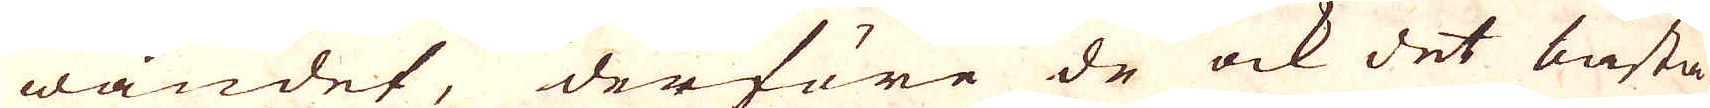wandet, derföre de ock det bästa
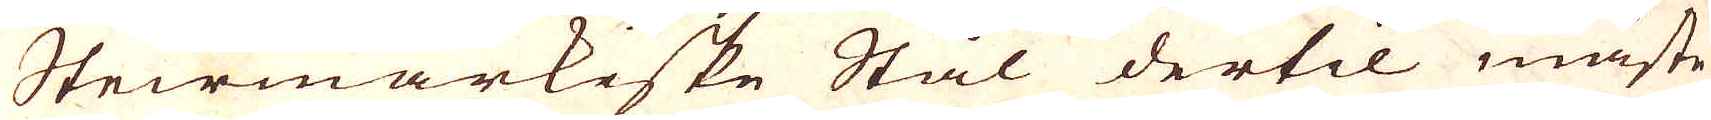Steirmarkiske Stål dertil måste
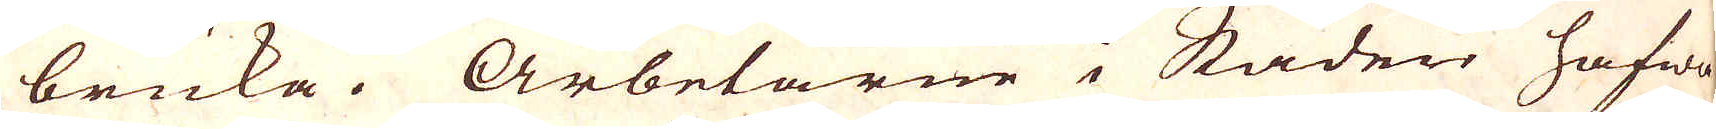bruka. Arbetarne i Staden hafwa
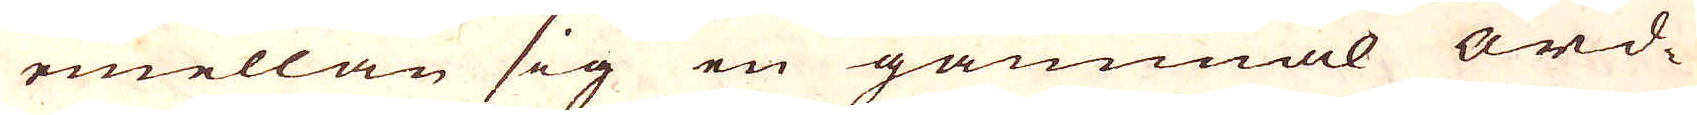emellan sig en gammal ord-
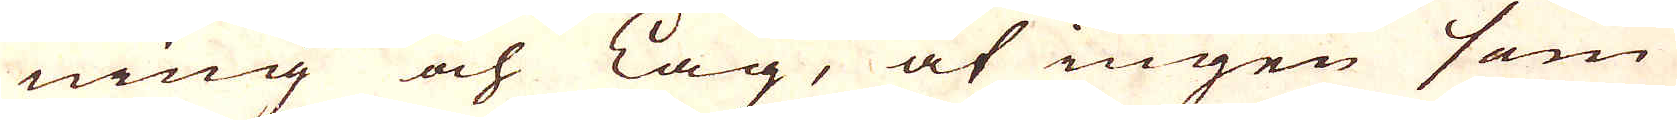ning och lag, at ingen som
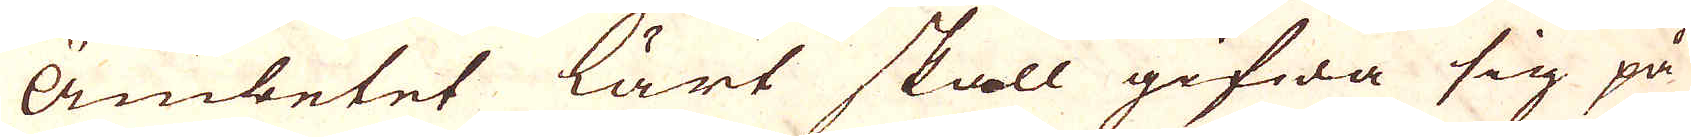Ämbetet lärt skall gifwa sig på
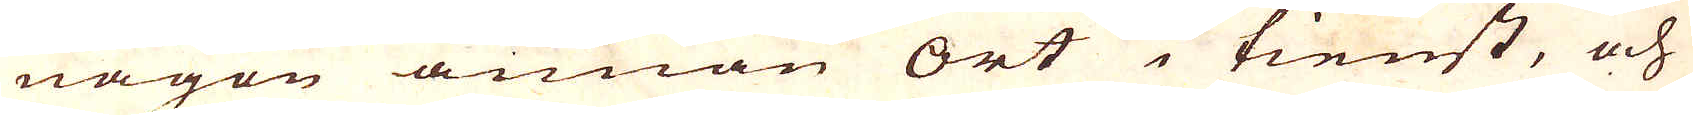någon ännan ort i tienst, och
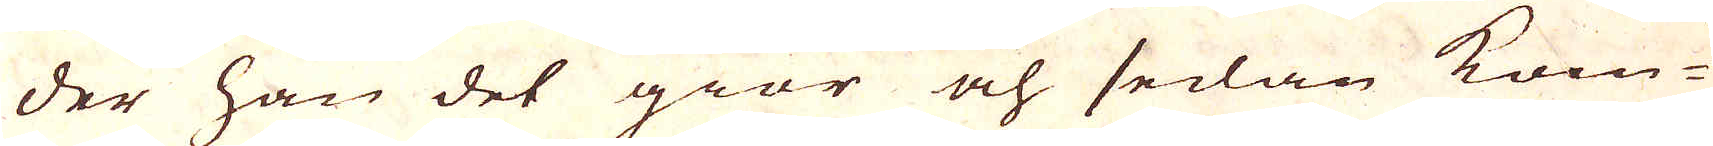der han det giör och sedan kom-
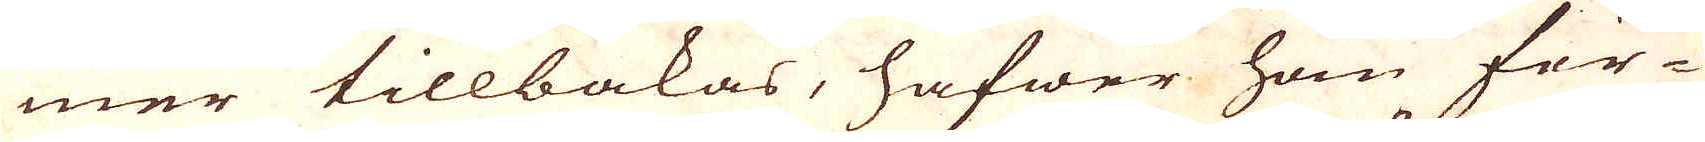mer tillbakas, hafwer han för-
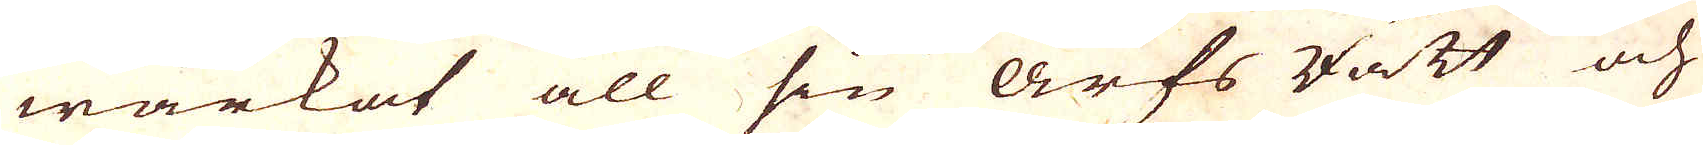wärkat all sin Arfs Rätt och
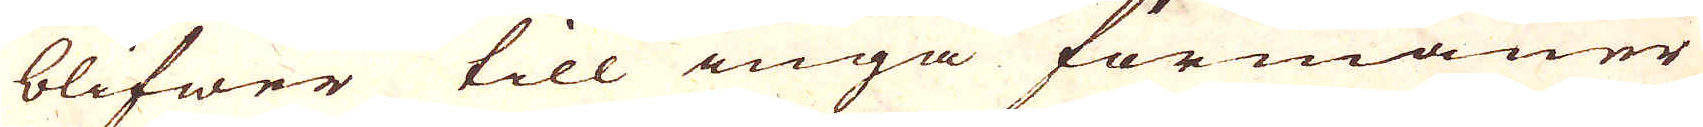blifwer till inga förmåner
